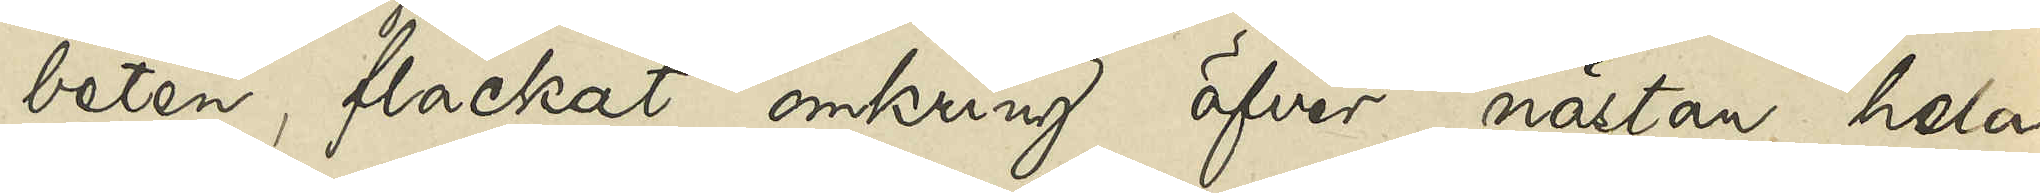beten, flackat omkring öfver nästan hela
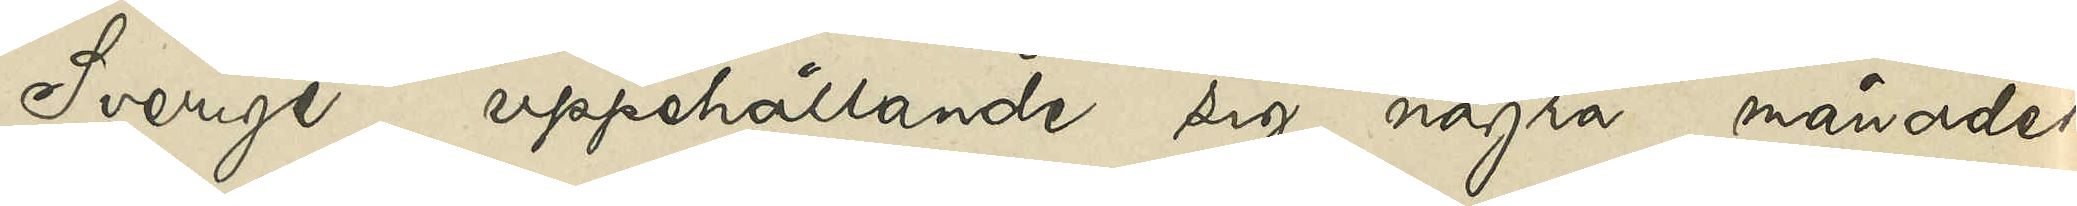Sverige, uppehållande sig några månader
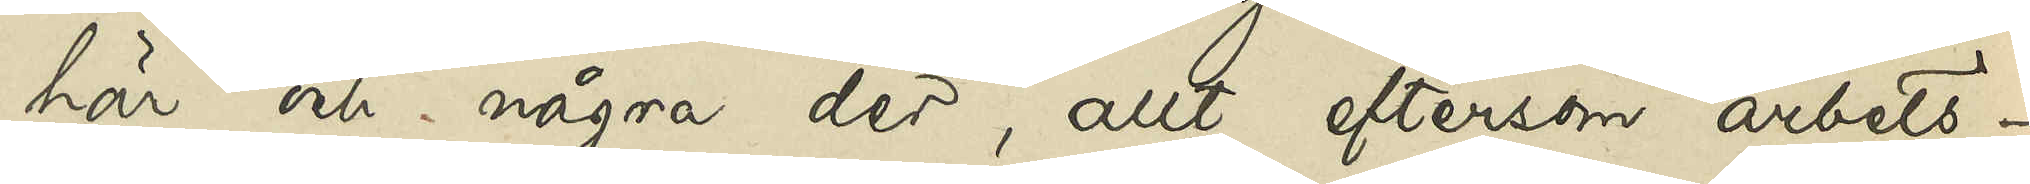här och några der, allt eftersom arbets¬
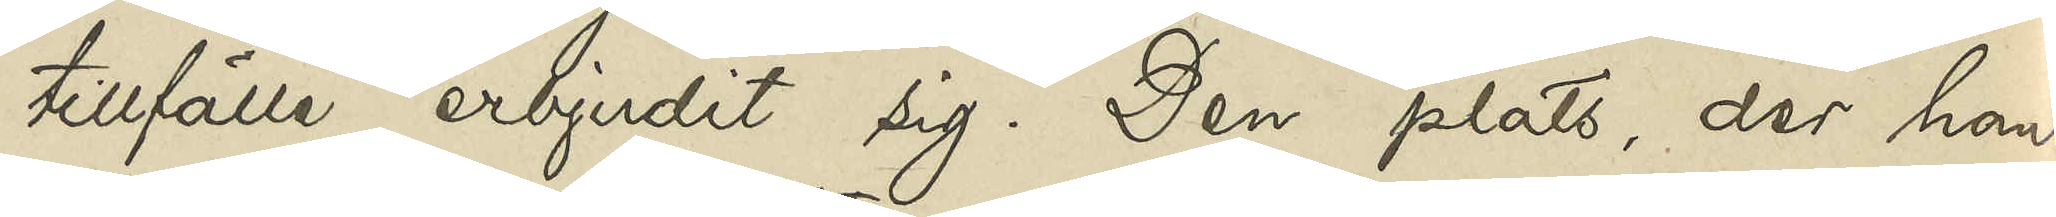tillfälle erbjudit sig. Den plats, der han
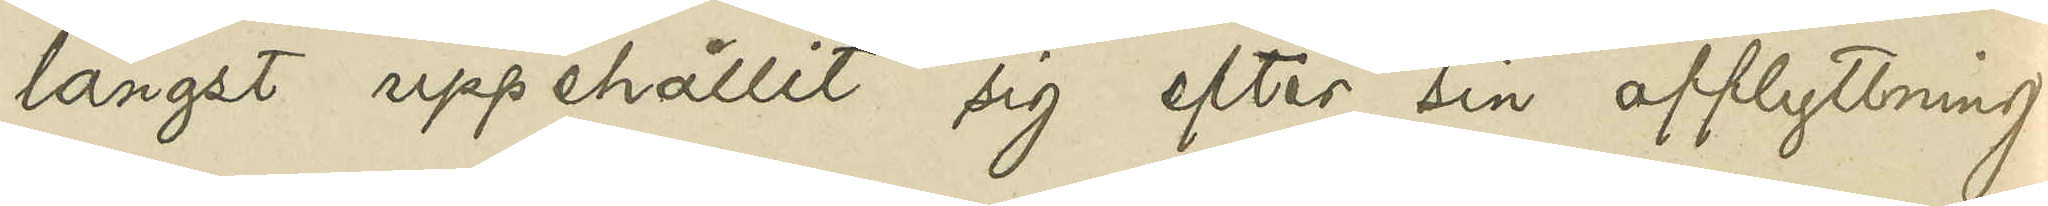längst uppehållit sig efter sin afflyttning
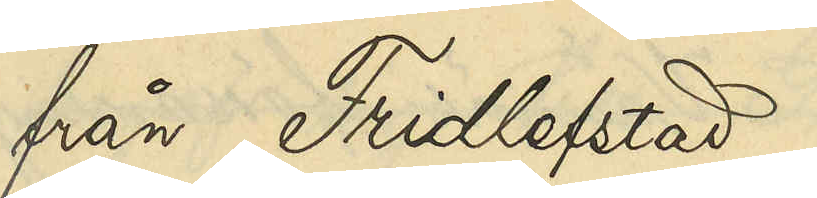från Fridlefstad
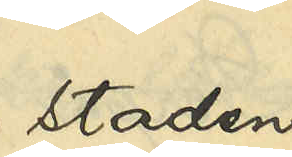staden
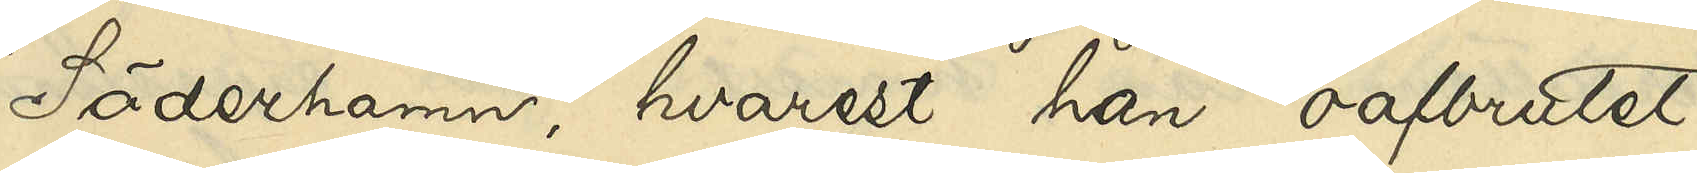Söderhamn, hvarest han oafbrutet
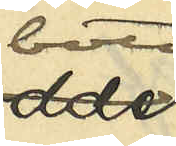bott
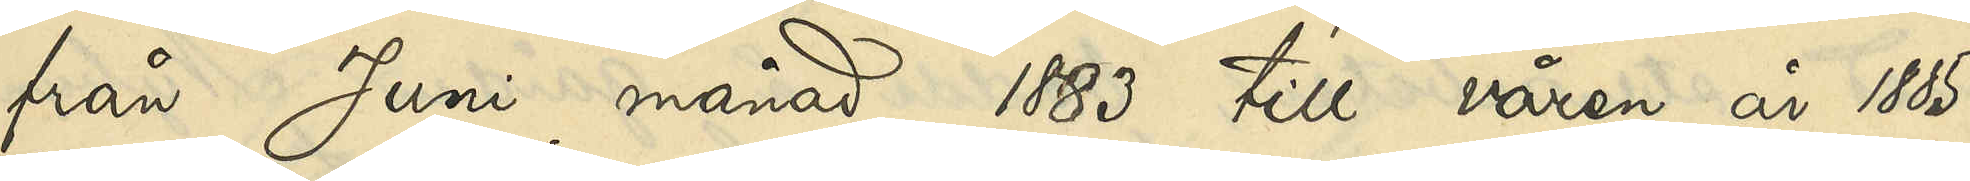från Juni månad 1883 till våren år 1885
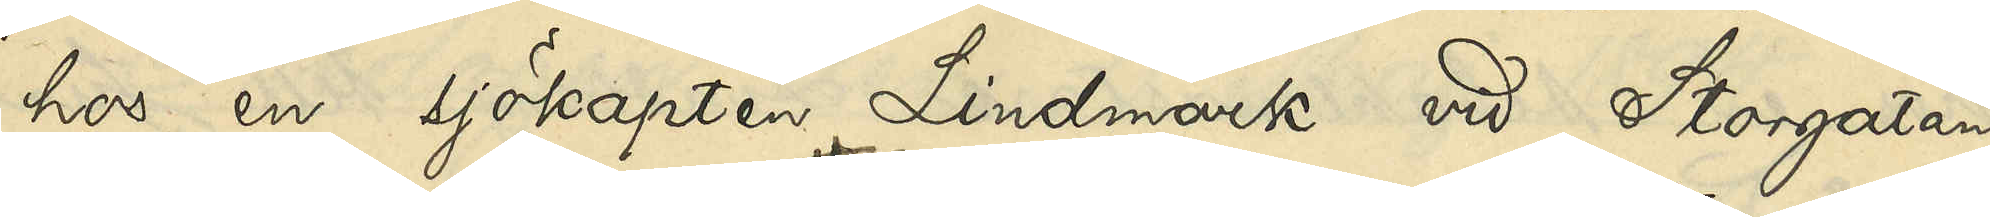hos en sjökapten Lindmark vid Storgatan
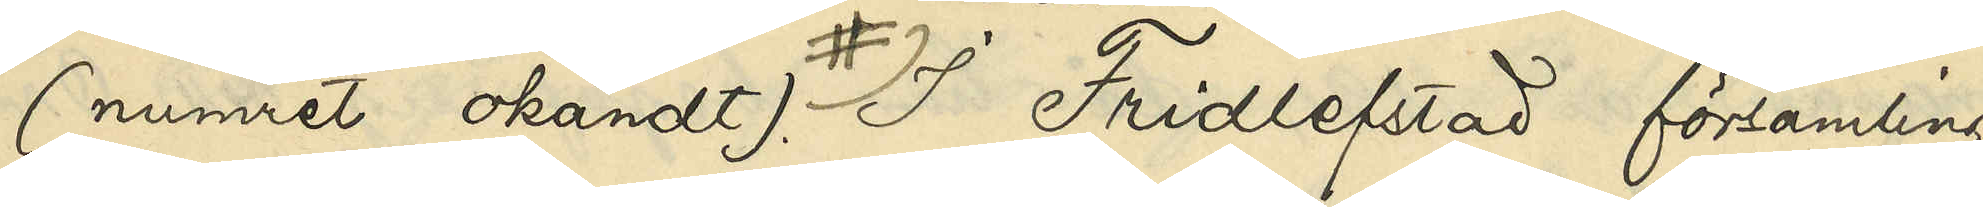(numret okändt). I Fridlefstad församling
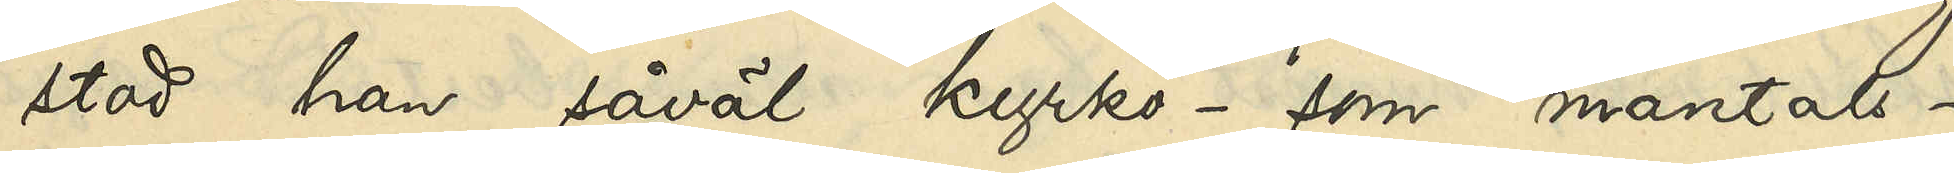stod han såväl kyrko- som mantals¬
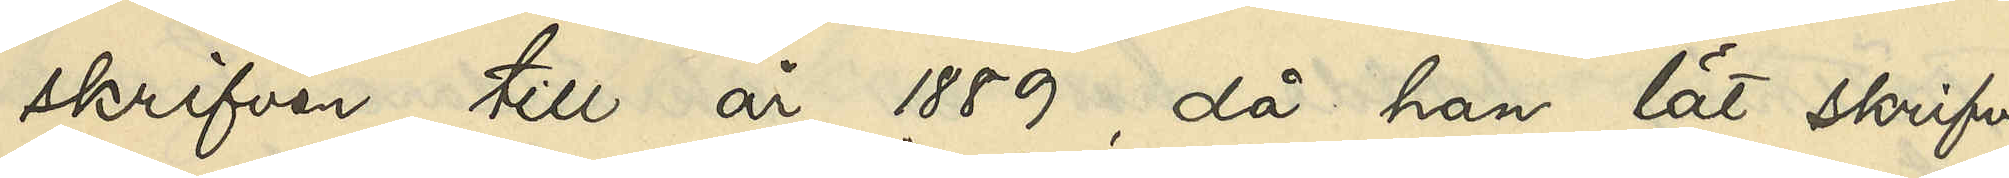skrifven till år 1889, då han lät skrifva
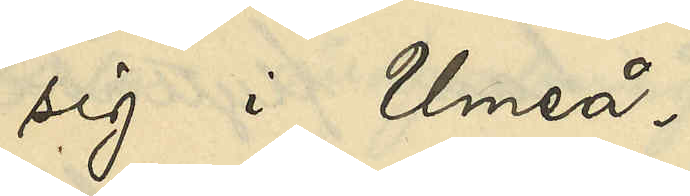sig i Umeå.
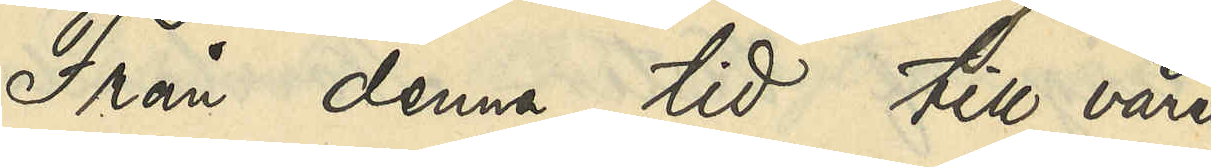Från denna tid till våren
